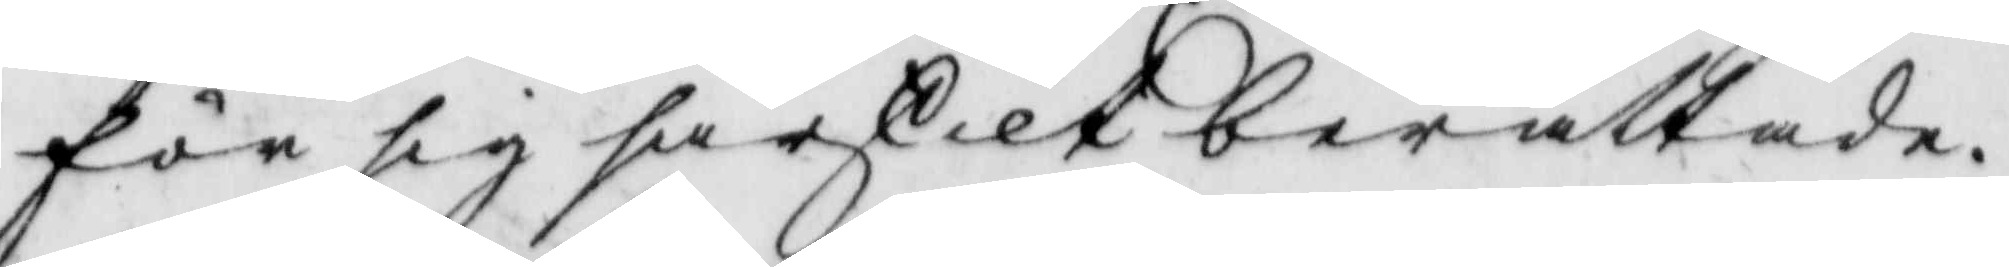för sig särskilt berättade.
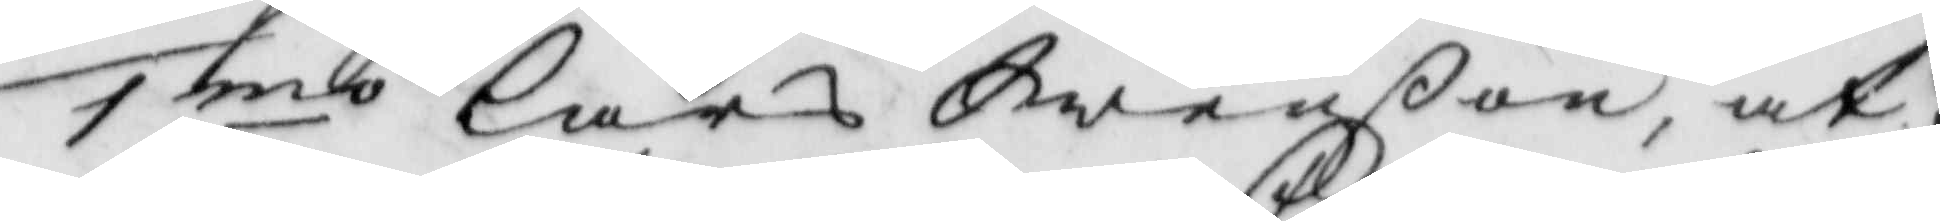1:mo Lars Swenßon, at
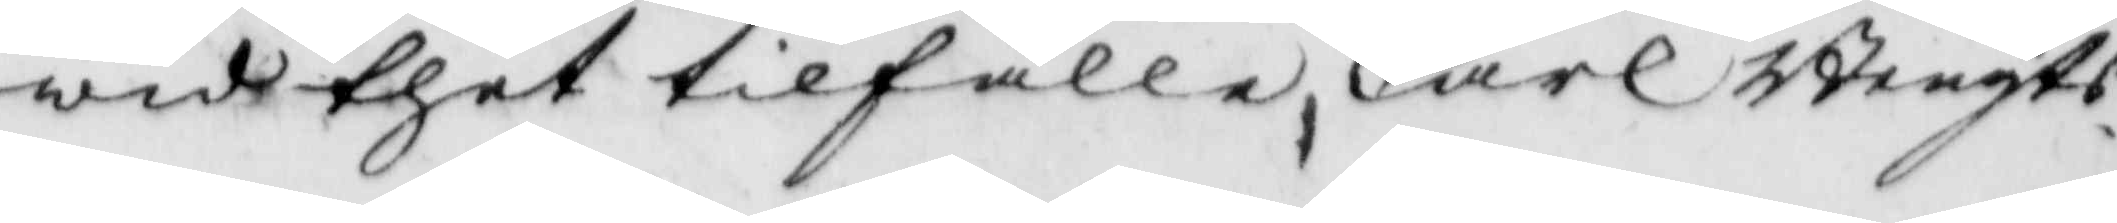wid thet tilfälle, Carl Bengts¬
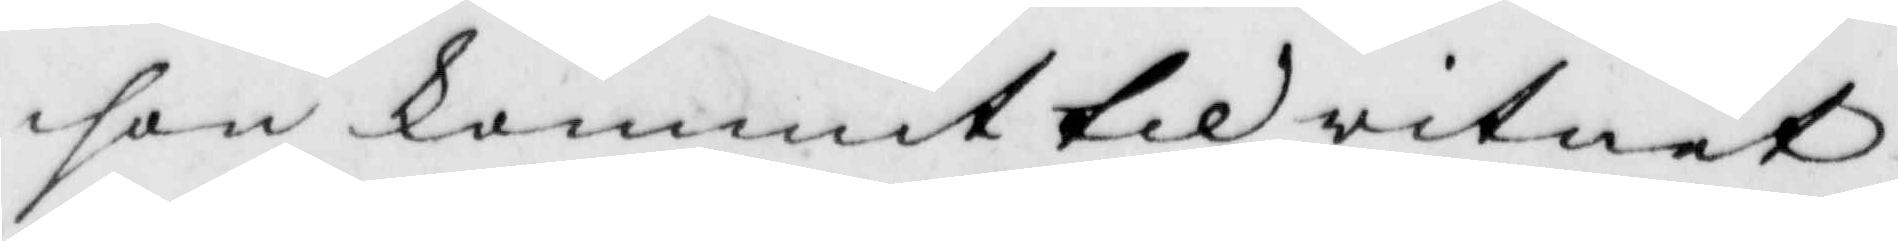son kommit til witnet
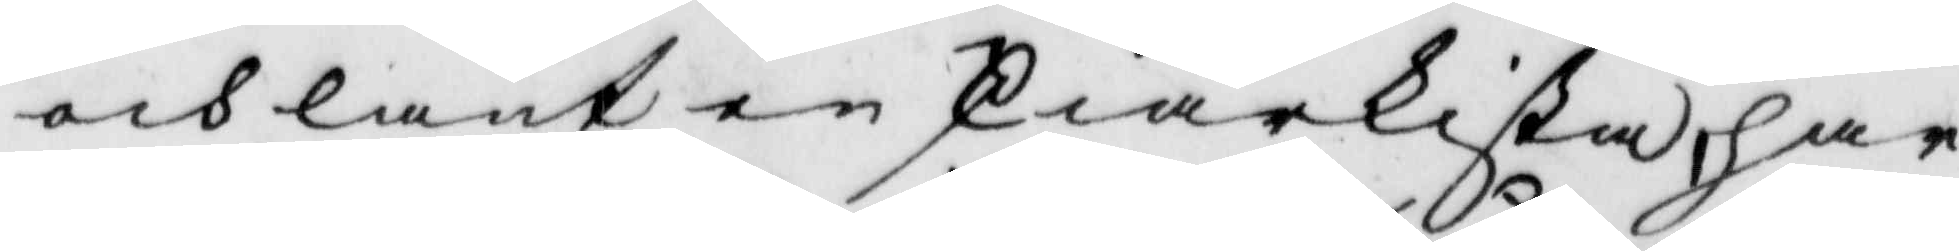och lånt en skiärkista, har
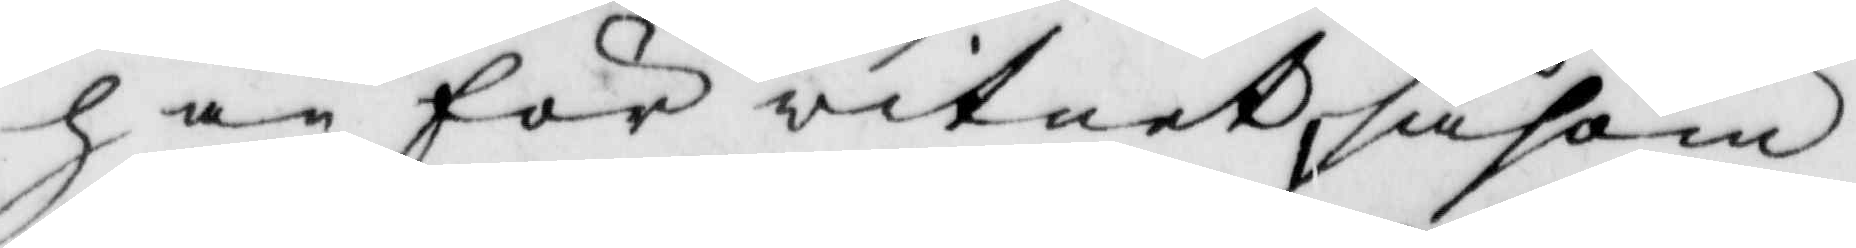han för witnet, såsom
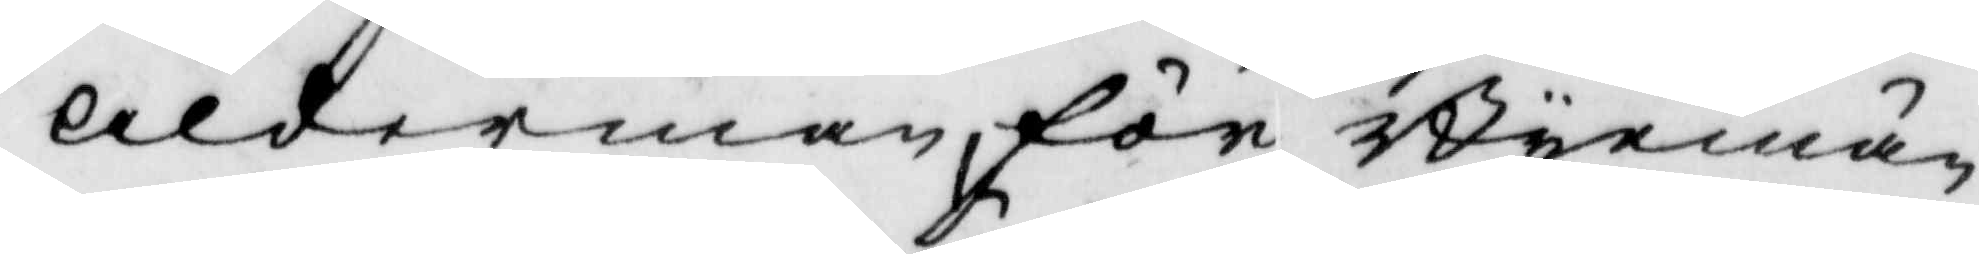ålderman, för Byemän¬
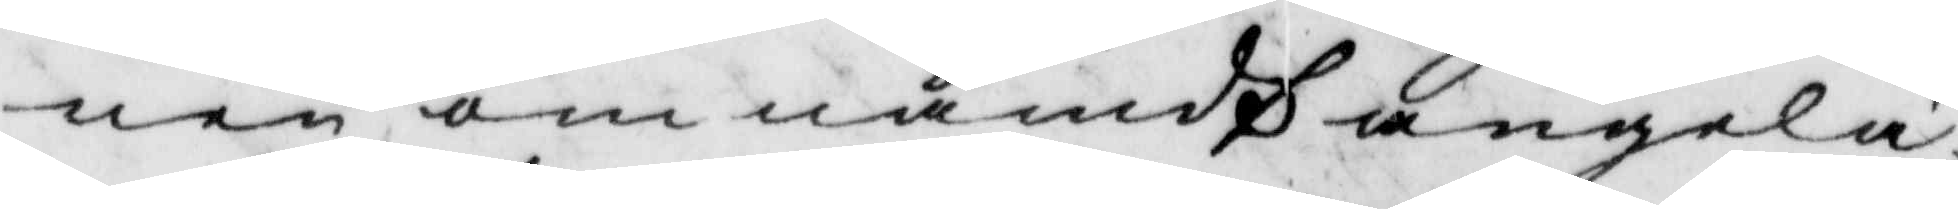nen, om nämdt angelä¬
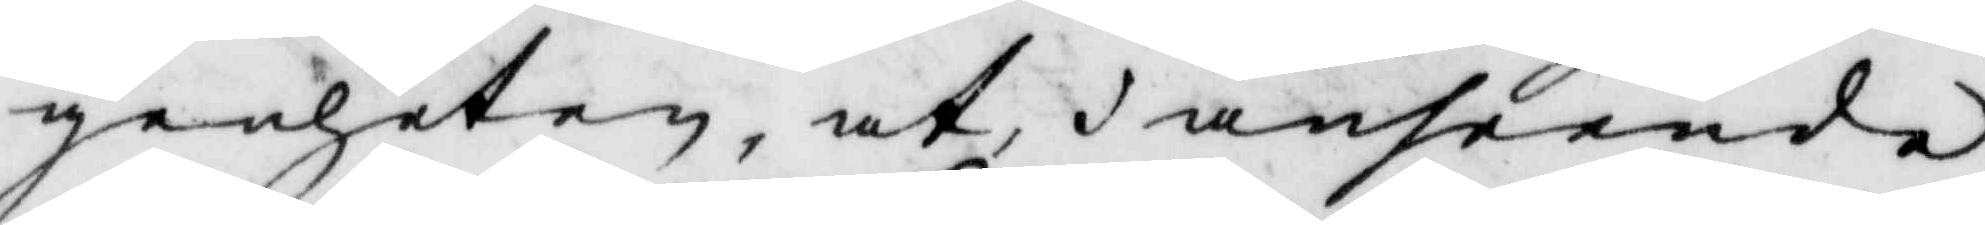genheten, at, i anseende
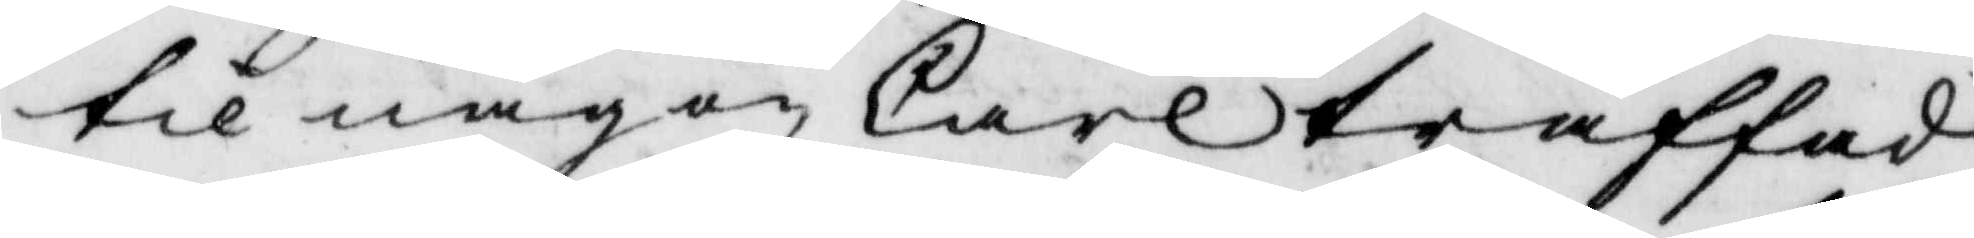til någon Carl träffad
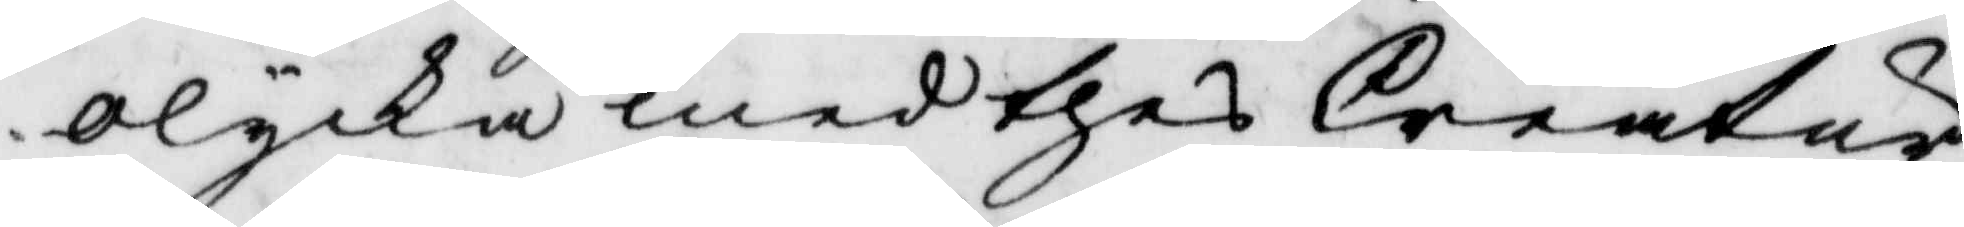olycka med thes Creatur
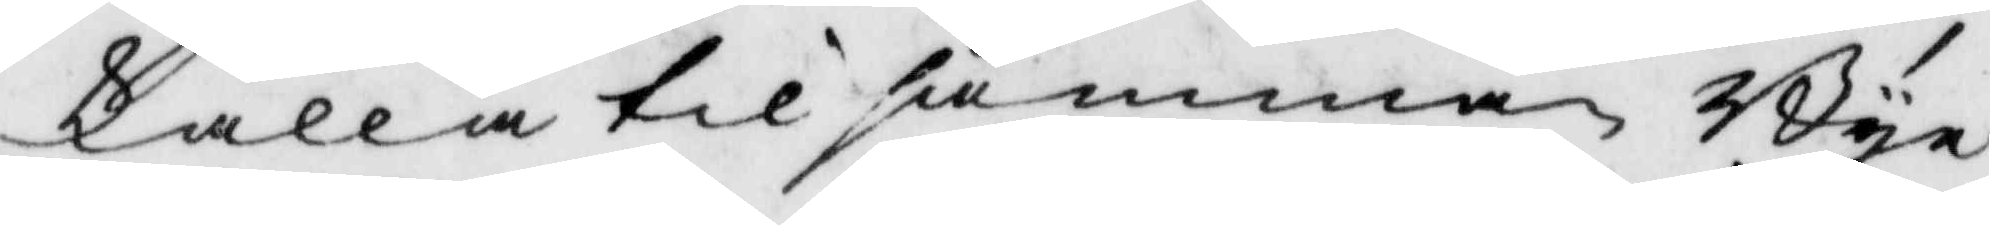kalla till samma Bye¬
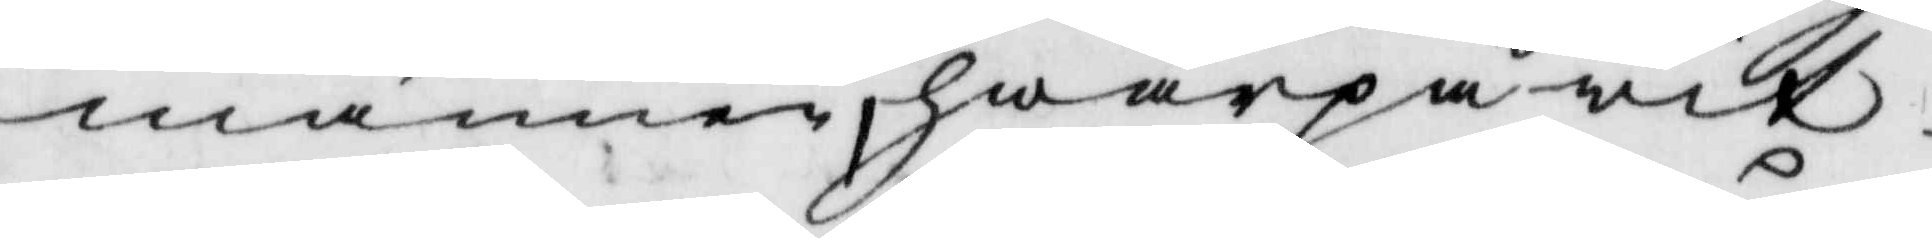männer, hwarpå wit¬
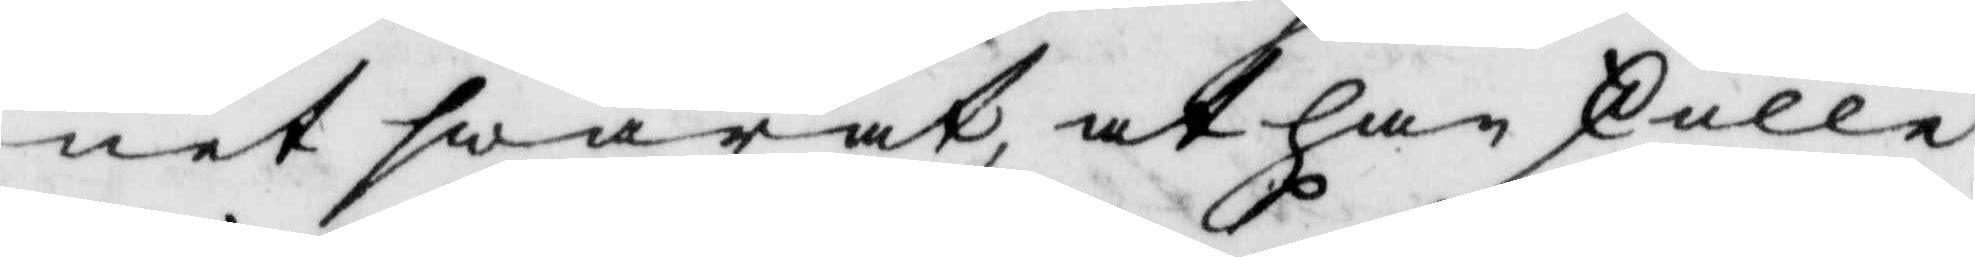net swarat, at han skulle
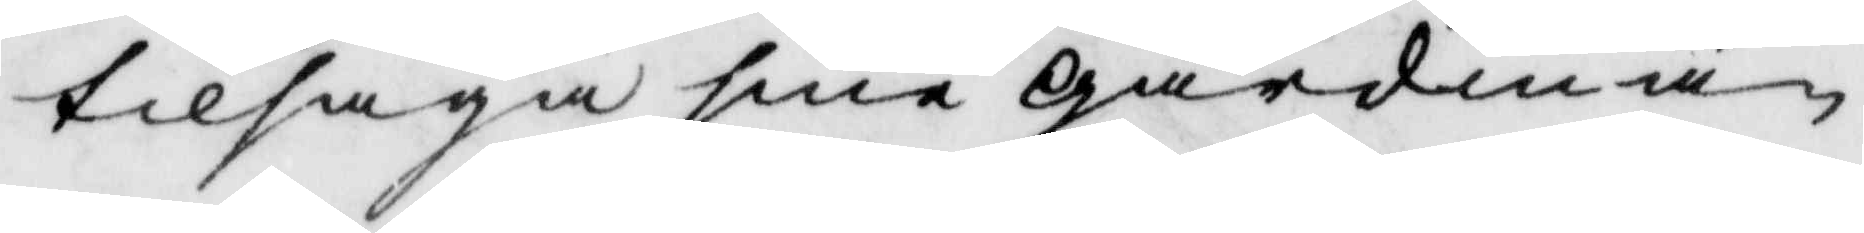tilfråga sine gårdmän
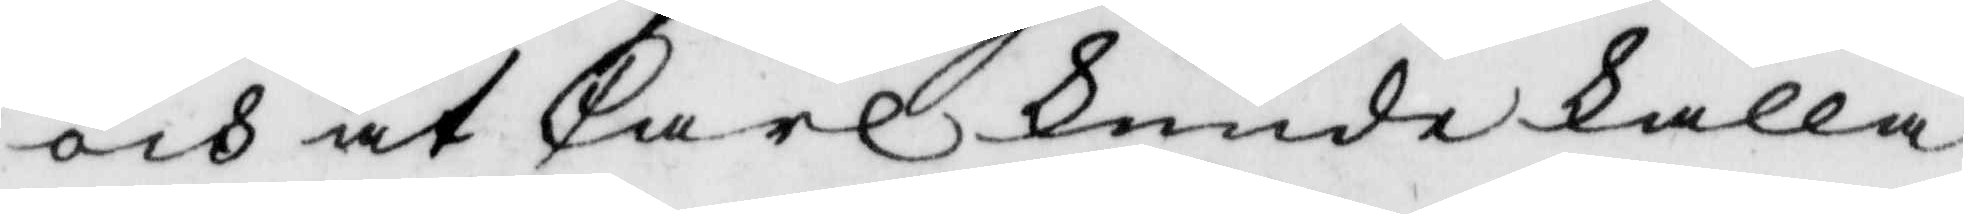och at Carl kunde kalla
